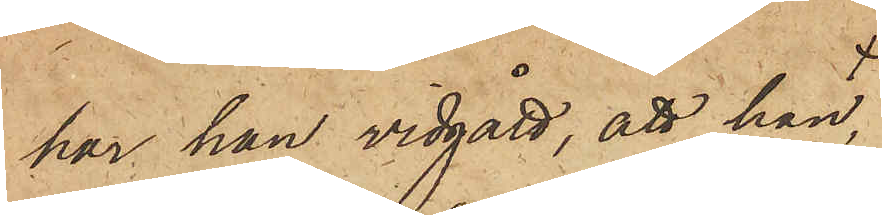har han vidgått, att han,
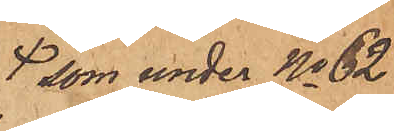som under No 62
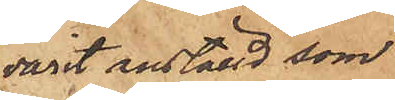varit anställd som
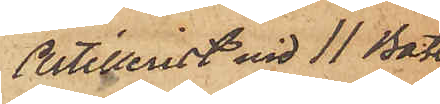Artillerist vid 11 Batt
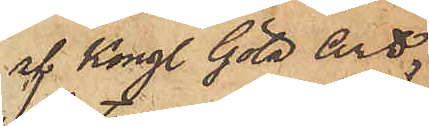af Kongl. Göta Art.
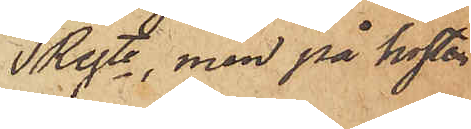Regte, men på hösten
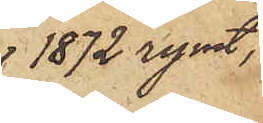 1872 rymt,
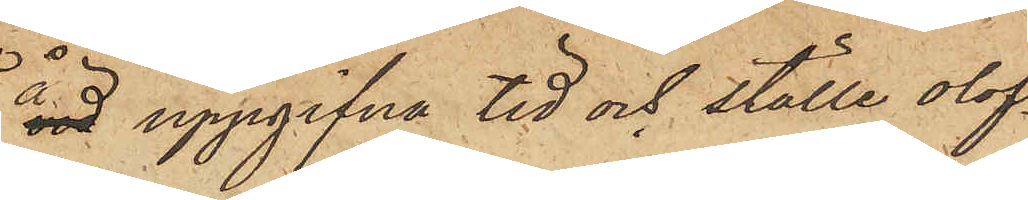å uppgifna tid och ställe olof¬
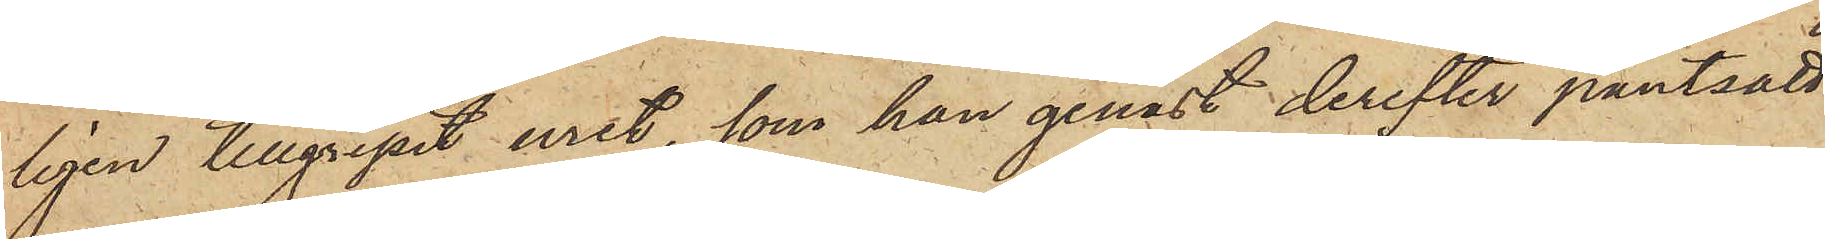ligen tillgripit uret, som han genast derefter pantsatt
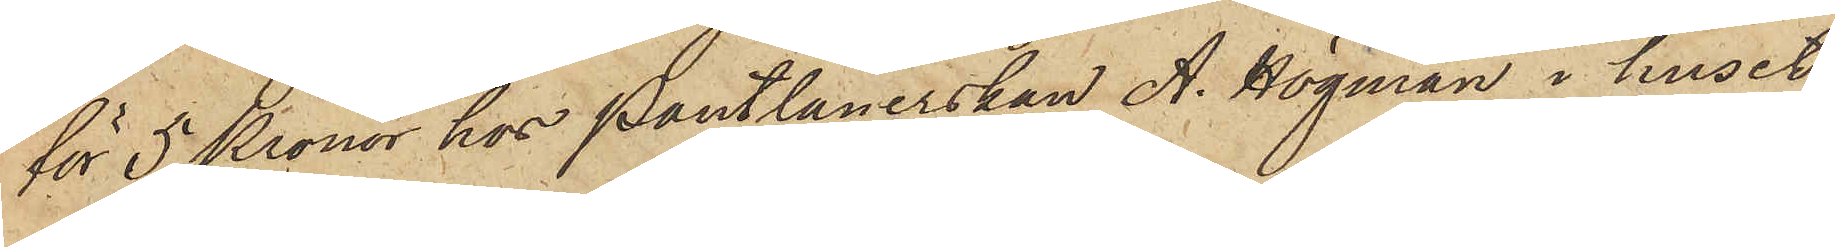för 5 Kronor hos Pantlånerskan A. Högman i huset
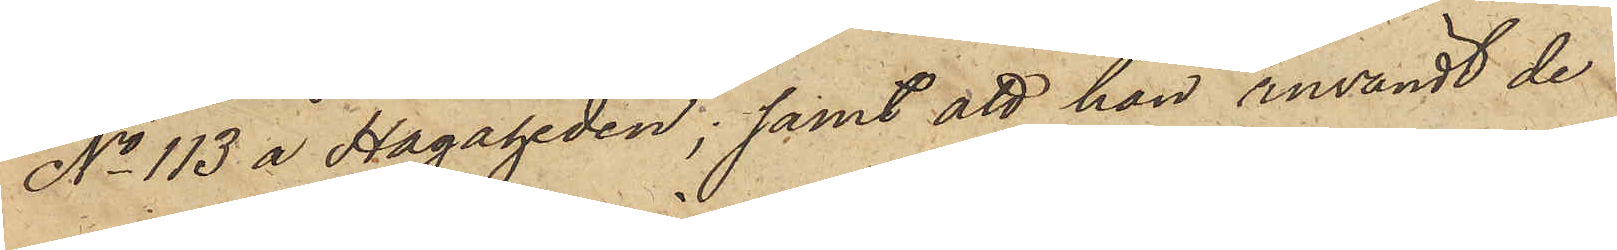No 113 å Hagaheden; samt att han användt de
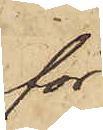för
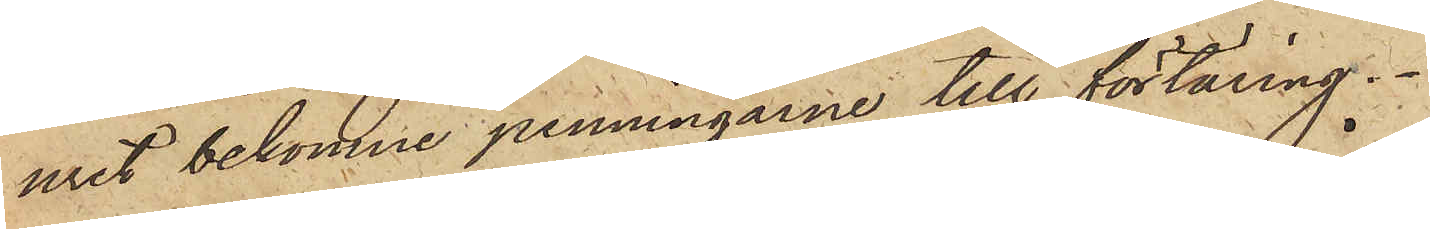uret bekomne penningarne till förtäring.
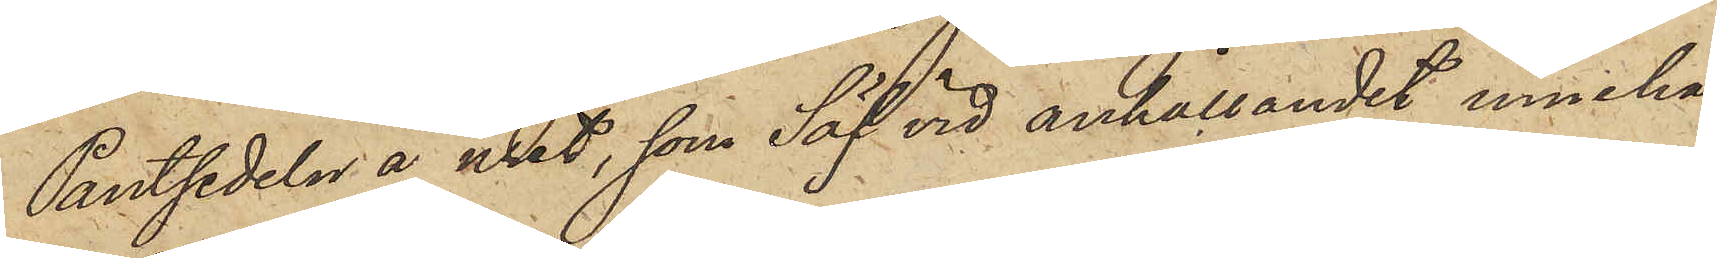Pantsedeln å uret, som Säf vid anhållandet inneha¬
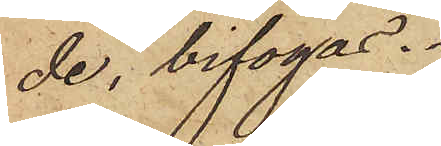de, bifogas.
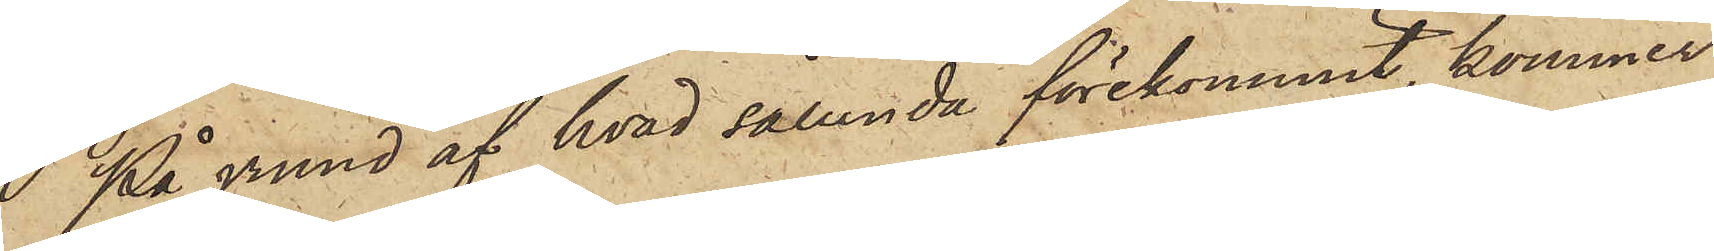 På grund af hvad sålunda förekommit, kommer
